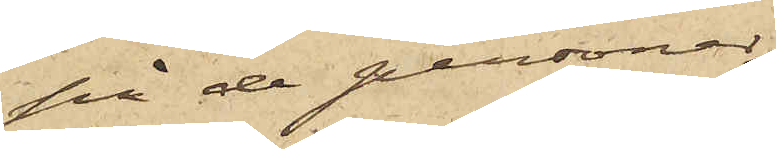på de personer
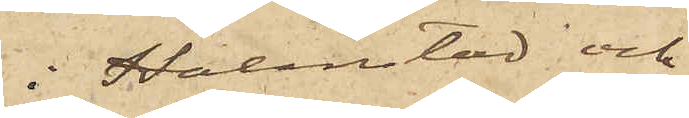i Halmstad och
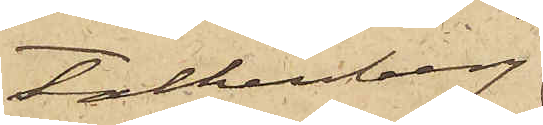Falkenberg
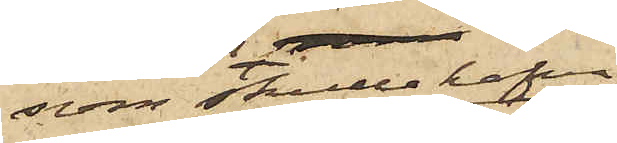som skulle hafva
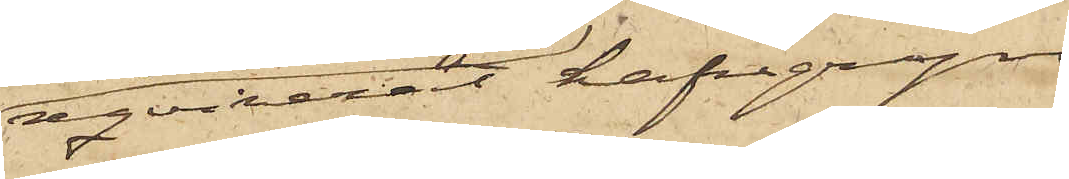reqvirerat hafregryn
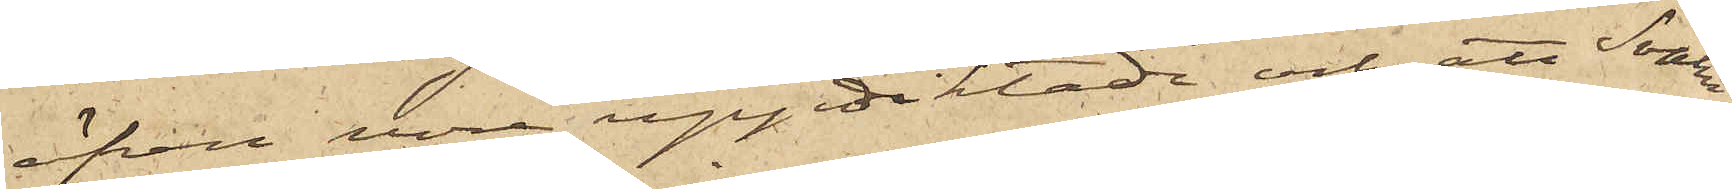äfven vore uppdiktade och att Svahn
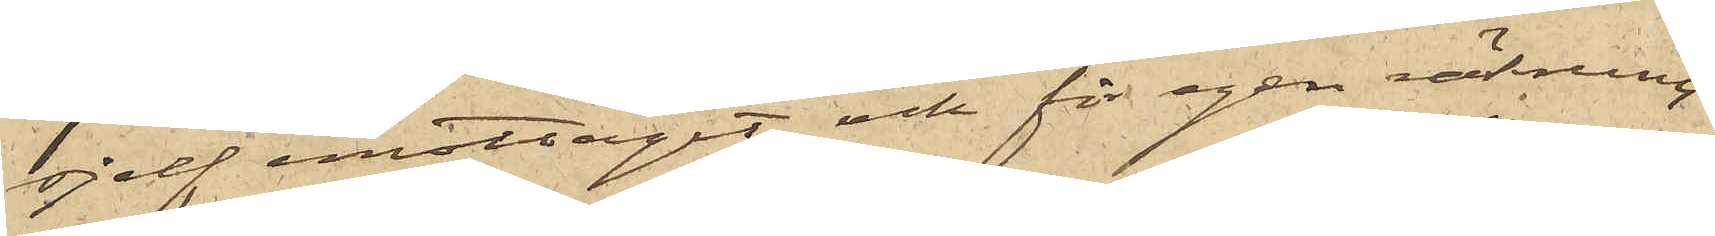sjelf emottagit och för egen räkning
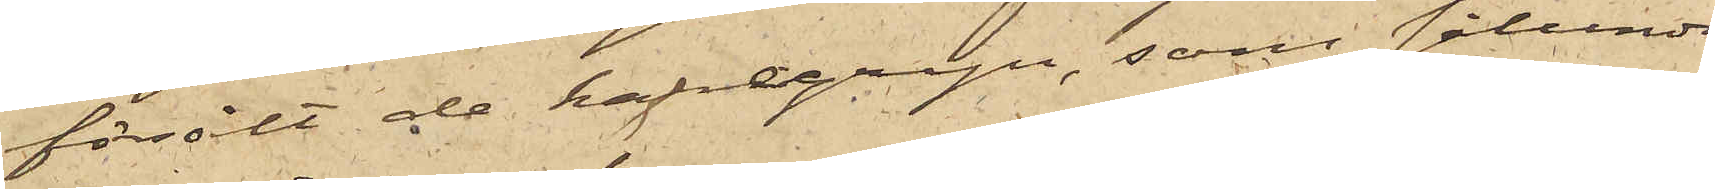försålt de hafregryn, som sålunda
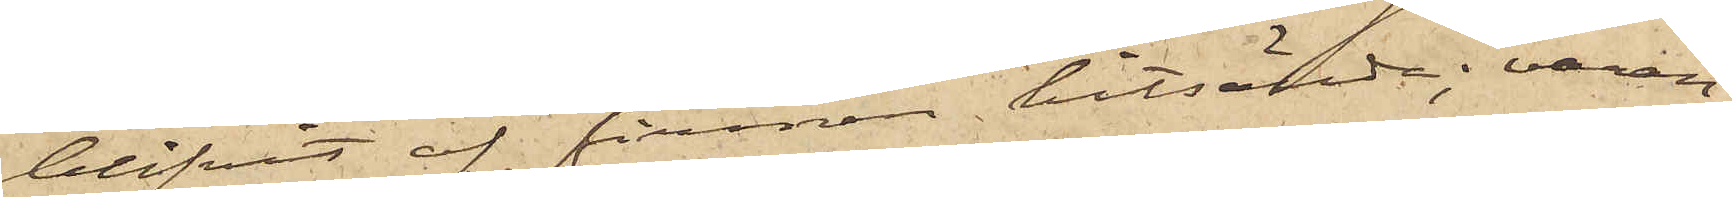blifvit af firman hitsände; varan¬
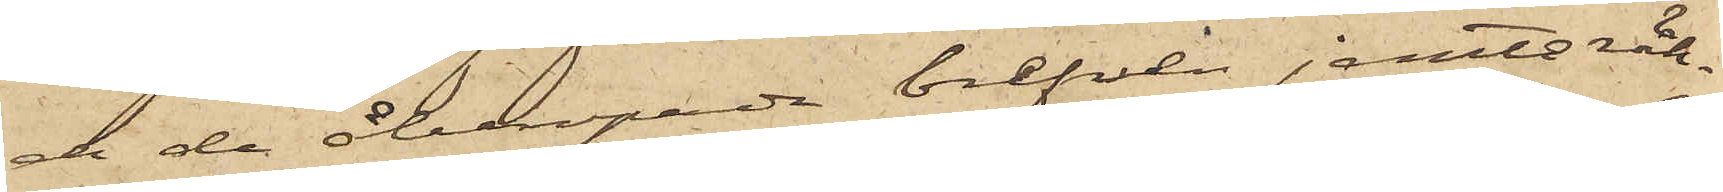de de åberopade brefven jemte räk¬
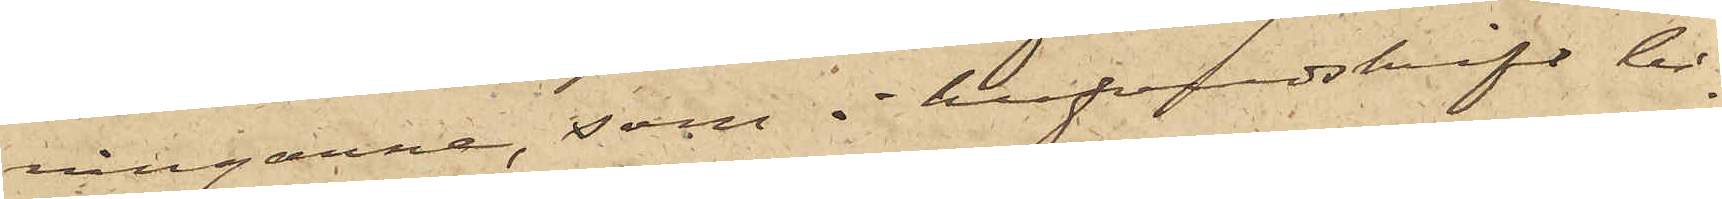ningarne, som i hufvudskrift bi¬
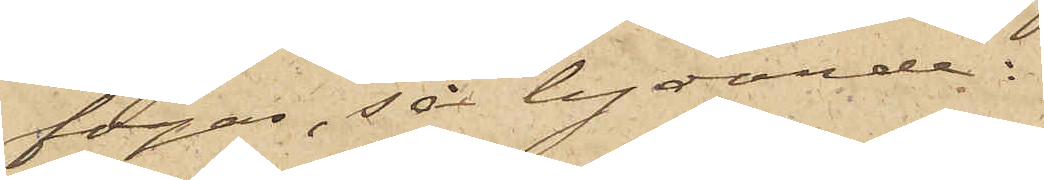fogas, så lydande:
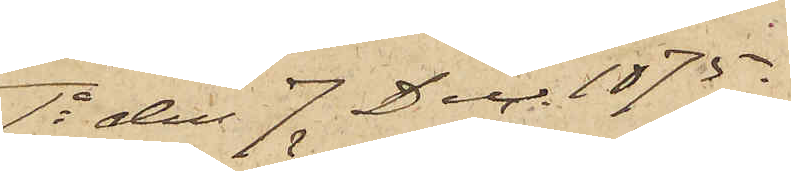1o den 7 Dec. 1875.
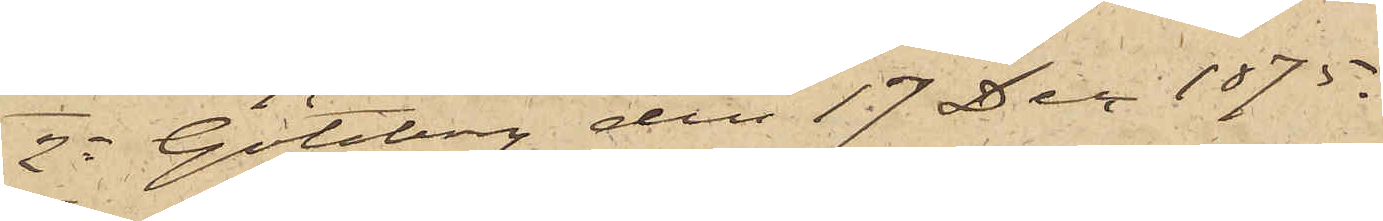2o Göteborg den 17 Dec 1875.
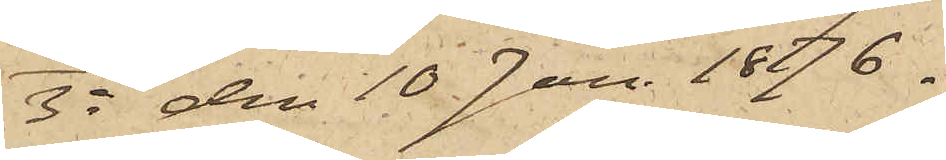3o den 10 Jan. 18876.
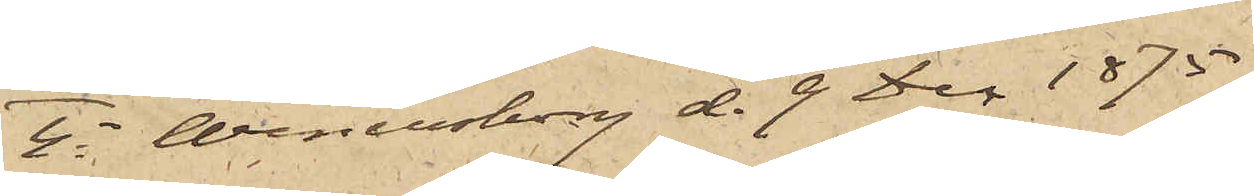4o Wenersborg d. 9 Dec 1875.
